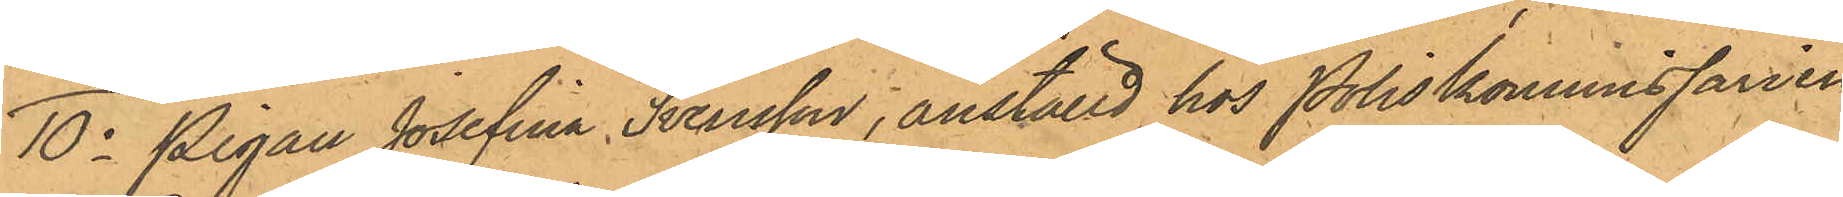10o Pigan Josefina Svensson, anställd hos Poliskommissarien
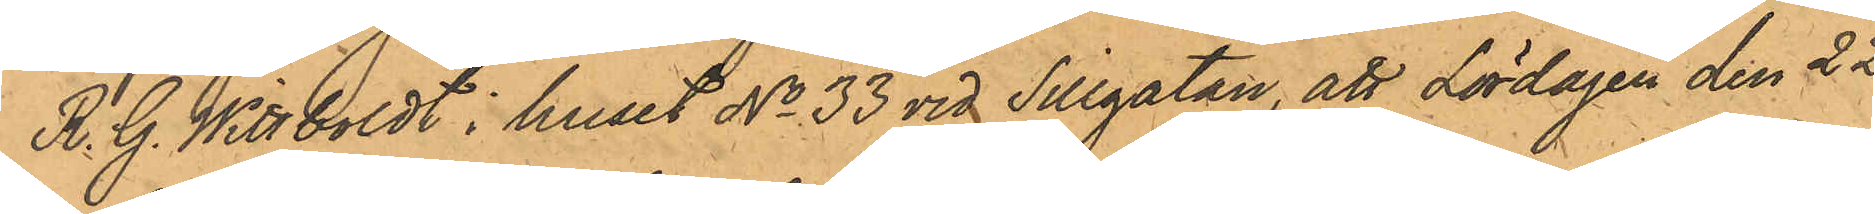R. G. Wittboldt i huset No 33 vid Sillgatan, att Lördagen den 22
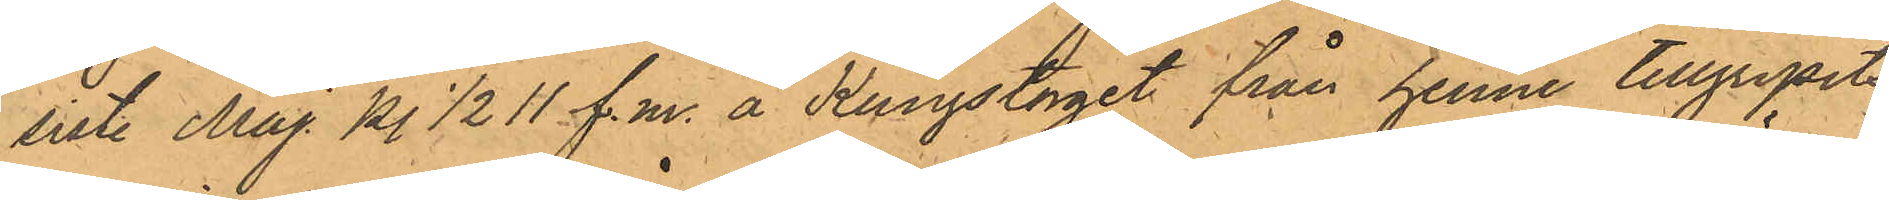sist. Maj kl 1/2 11 f.m. å Kungstorget från henne tillgripits
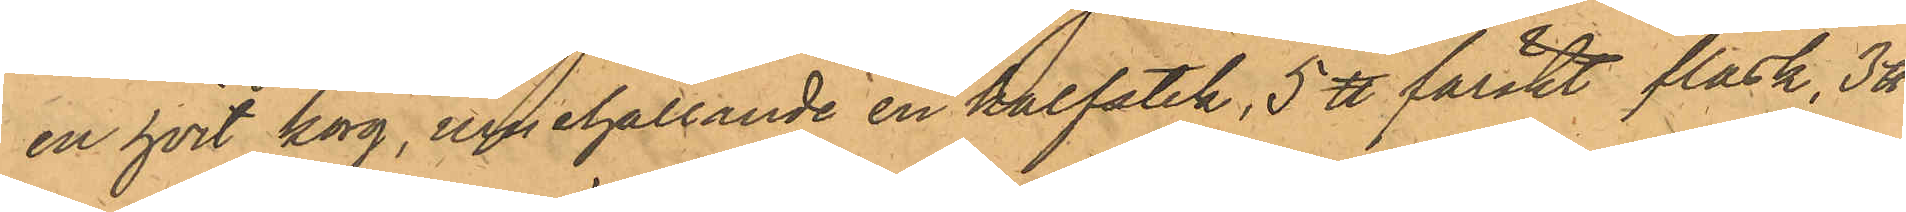en hvit korg, innehållande en kalfstek, 5 ℔ färskt fläsk, 3 ℔
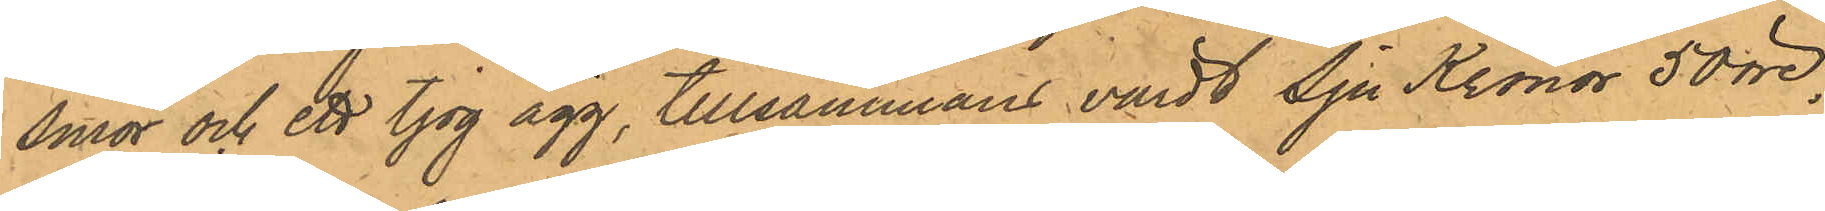smör och ett tjog ägg, tillsammans värdt Sju Kronor 50 öre;
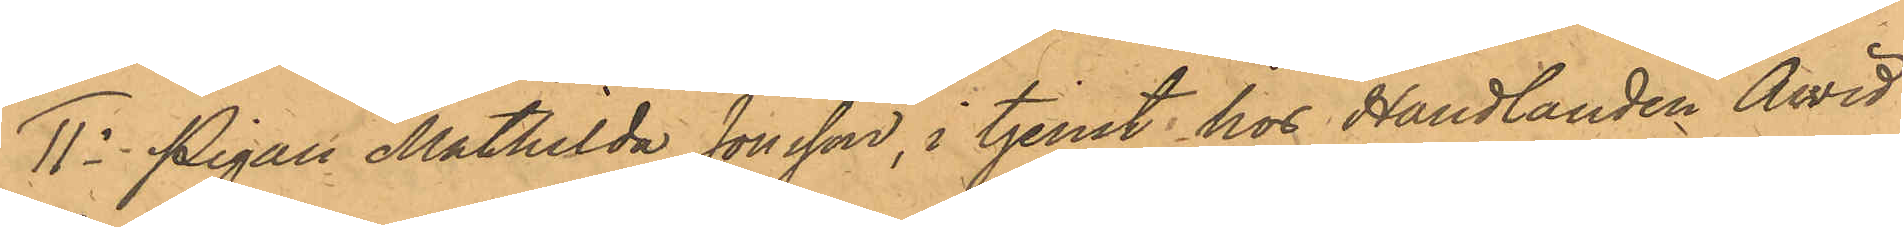11o Pigan Mathilda Jonsson, i tjenst hos Handlanden Arvid
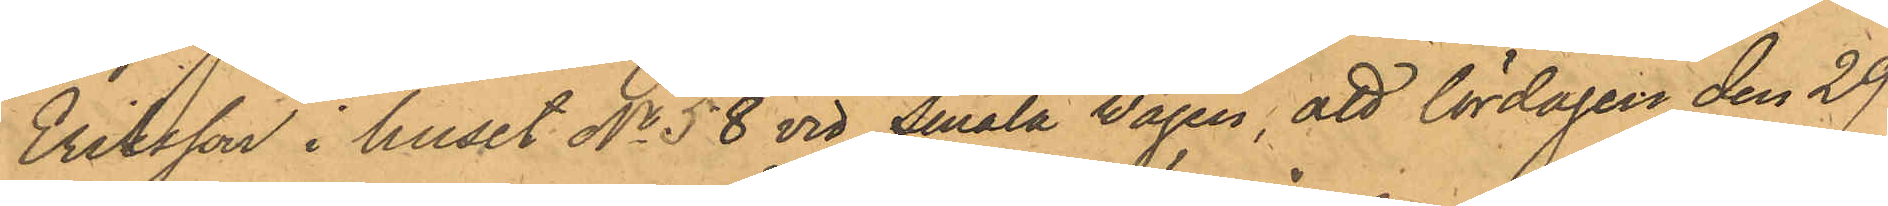Eriksson i huset No 58 vid Smala vägen, att lördagen den 29
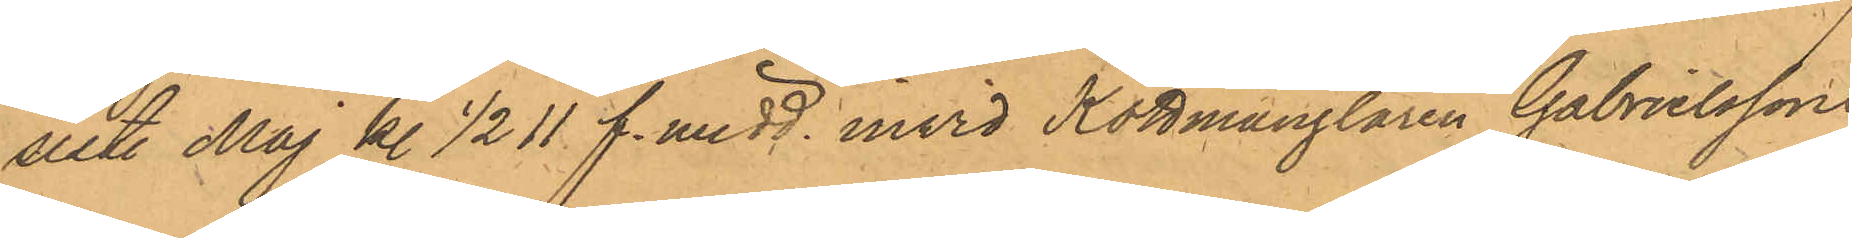sist. Maj kl. 1/2 11 f. midd. invid Köttmånglaren Gabrielssons
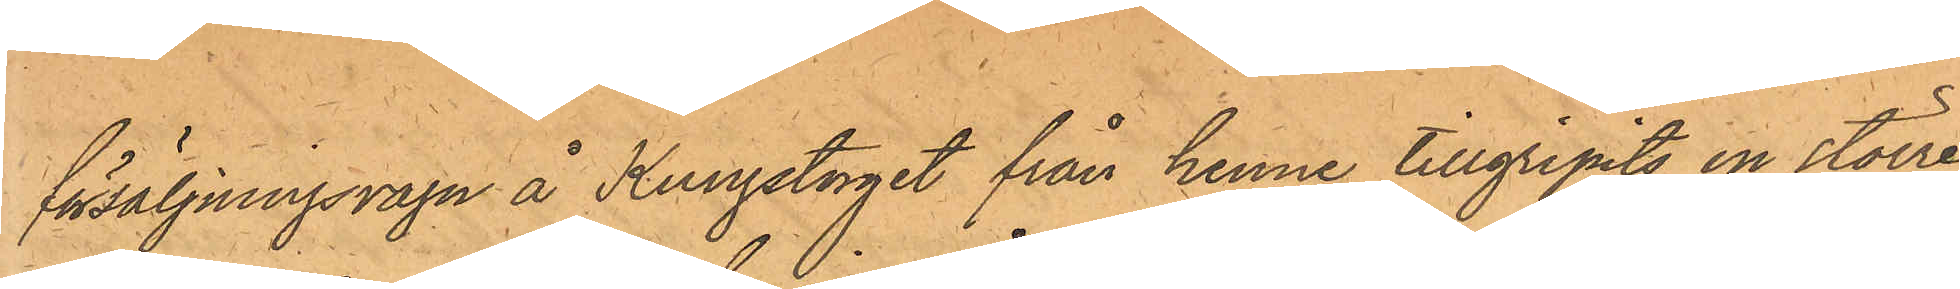försäljningsvagn å Kungstorget från henne tillgripits en större
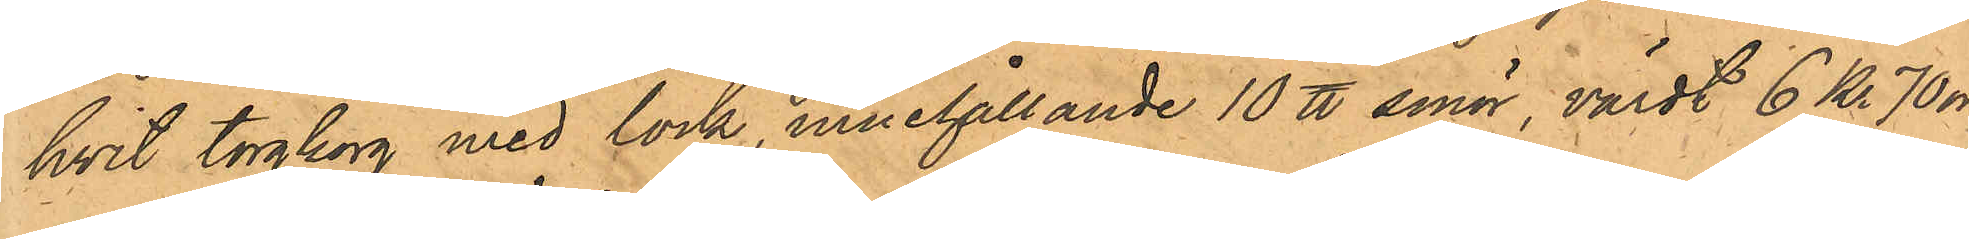hvit torgkorg med lock, innehållande 10 ℔ smör, värdt 6 Kr. 70 öre
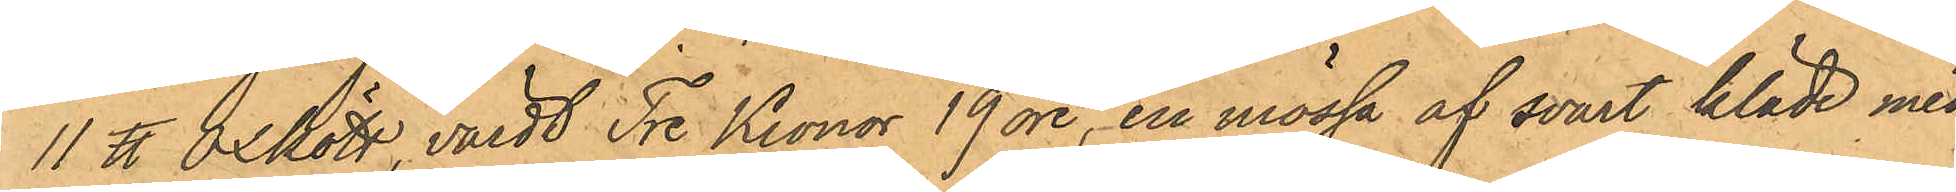11 ℔ oxkött, värdt Tre Kronor 19 öre, en mössa af svart kläde med
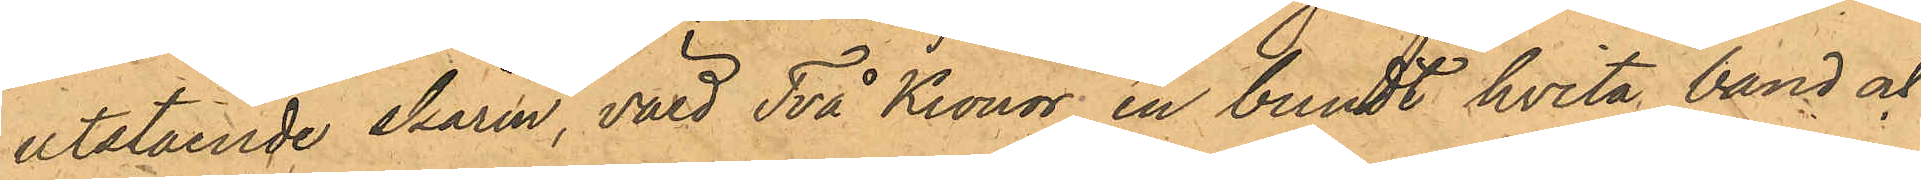utstående skärm, värd Två Kronor, en bundt hvita band och
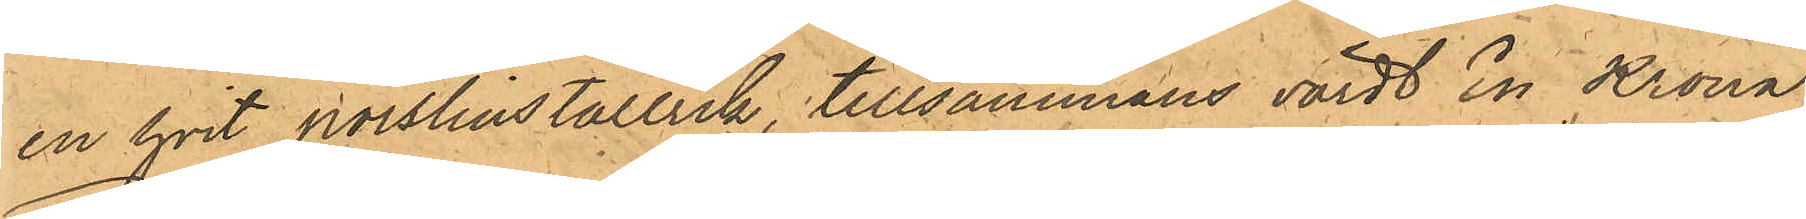en hvit porslinstallrik, tillsammans värdt En Krona;
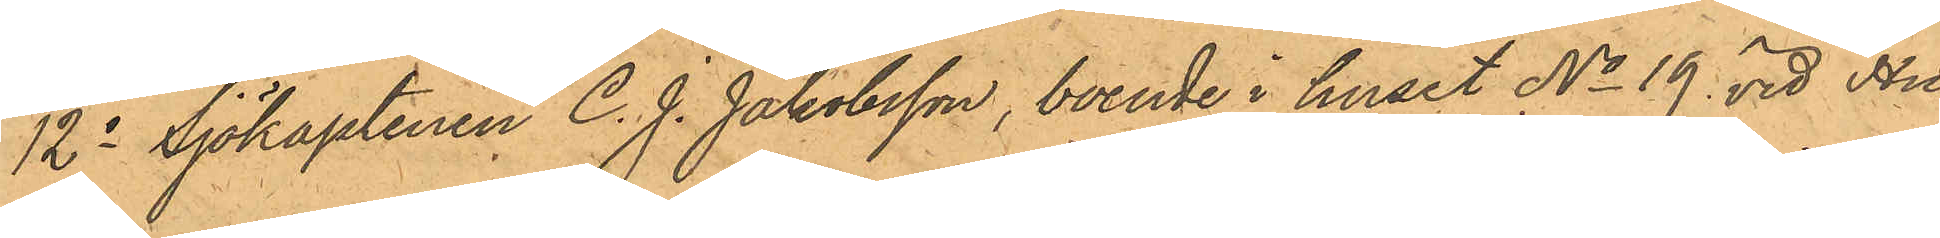12o Sjökaptenen C. J. Jakobsson, boende i huset No 19 vid Hu¬
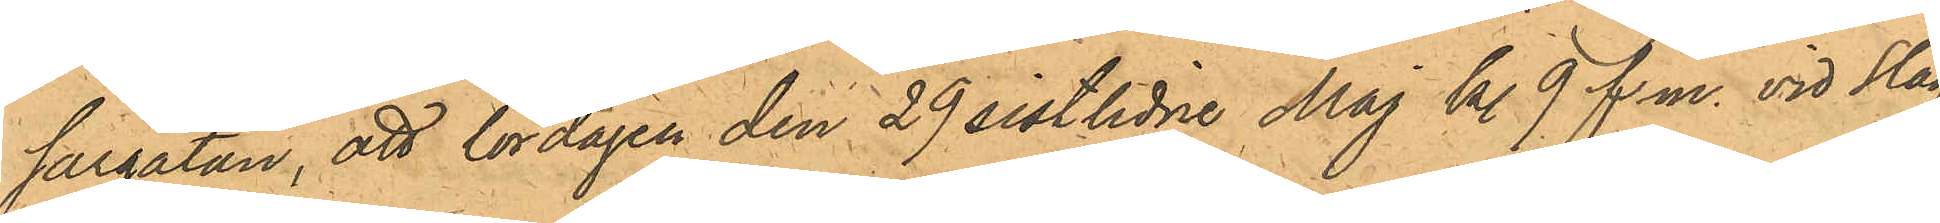sargatan, att lördagen den 29 sistlidne Maj kl. 9. f.m. vid Slag¬
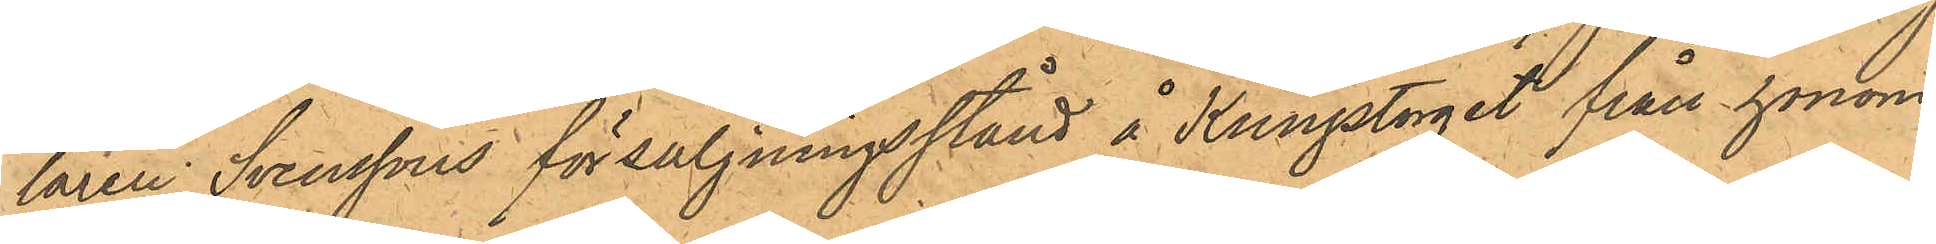taren Svenssons försäljningsstånd å Kungstorget från honom
